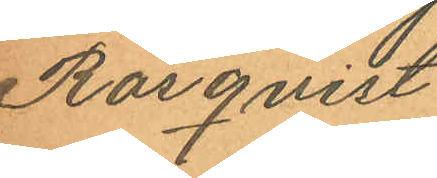Rosqvist.
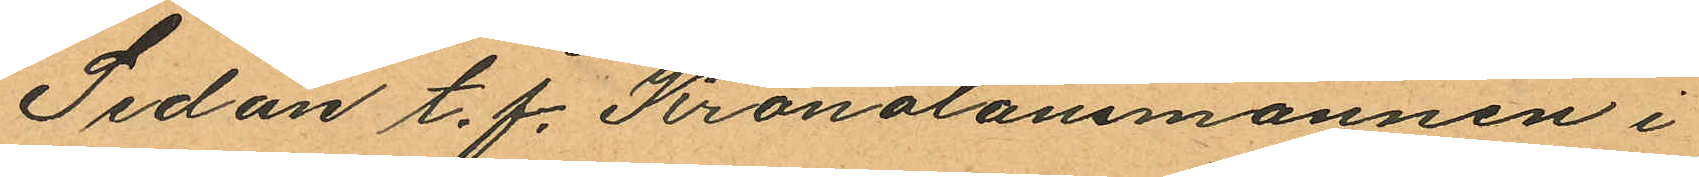Sedan t. f. Kronolänsmannen i
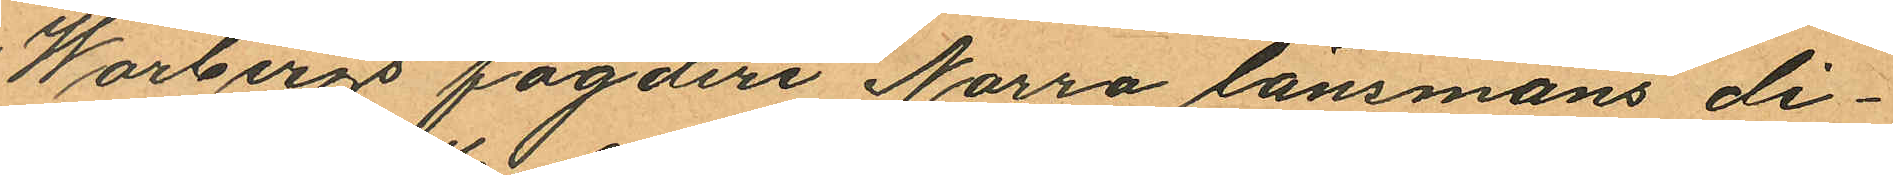Warbergs fögderi Norra länsmans di¬
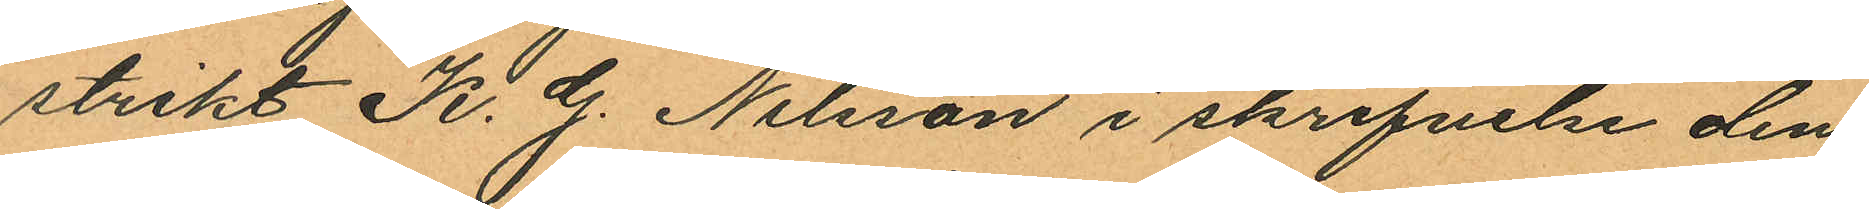strikt K. G. Nilsson i skrifvelse den
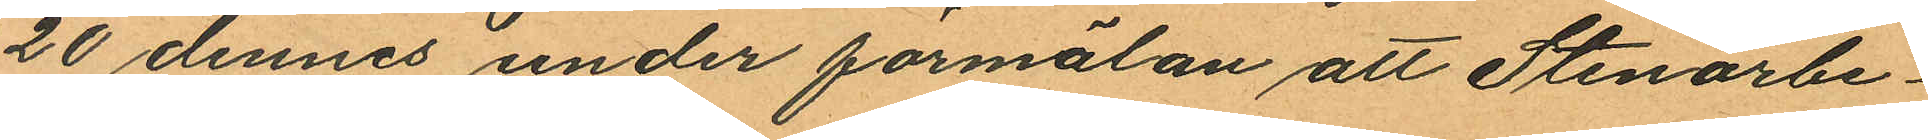20 dennes under förmälan att Stenarbe¬
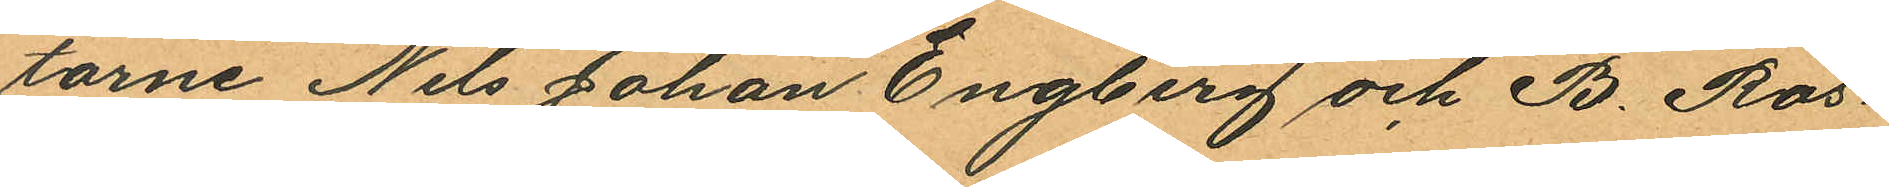tarne Nils Johan Engberg och B. Ros¬
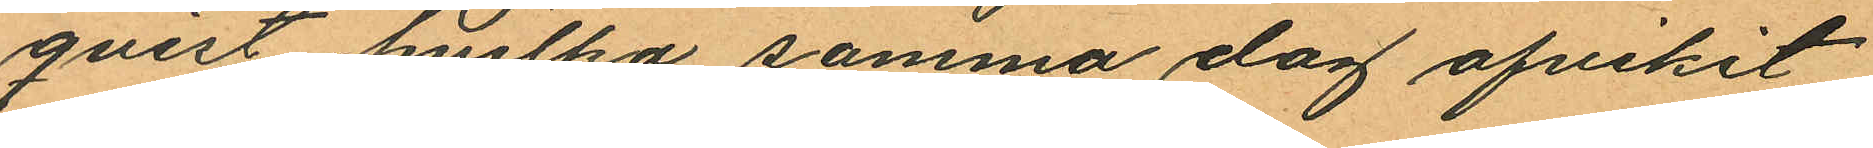qvist hvilka samma dag afvikit
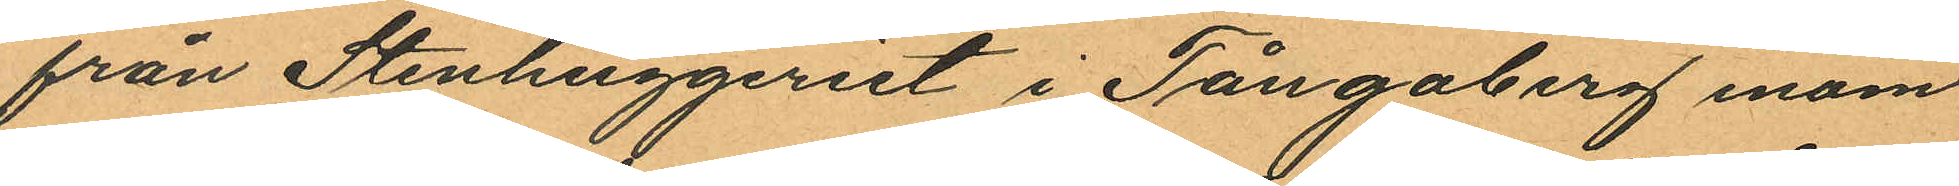från Stenhuggeriet i Tångaberg inom
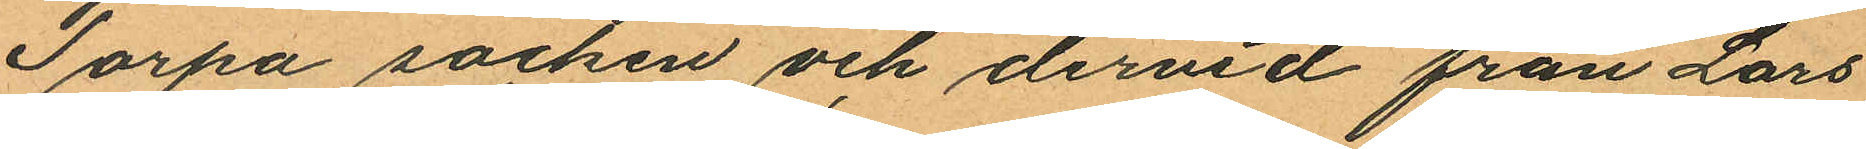Torpa socken och dervid från Lars
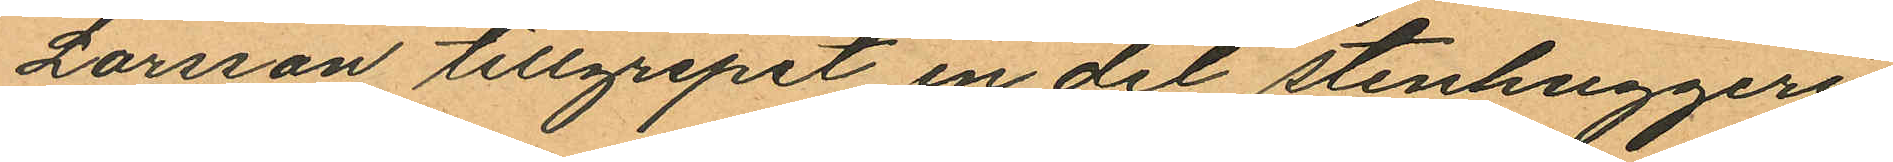Larsson tillgripit en del stenhuggeri
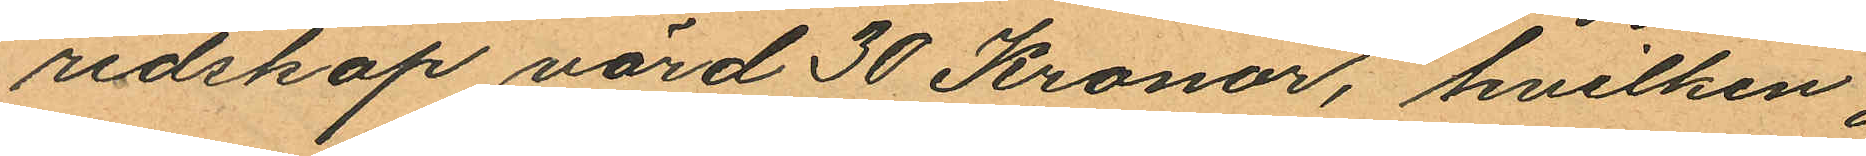redskap värd 30 Kronor, hvilken
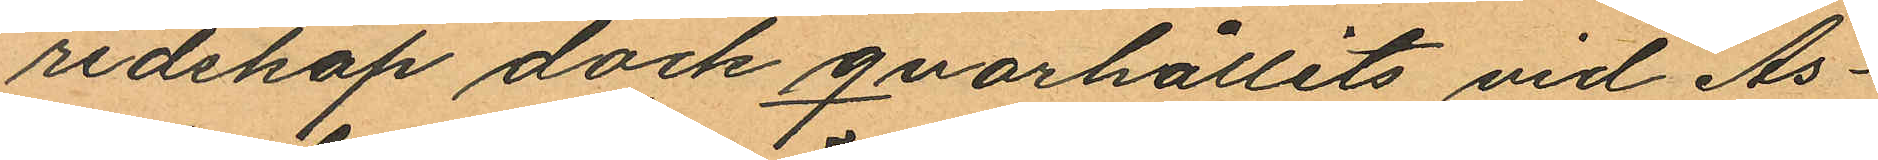redskap dock qvarhållits vid Ås¬
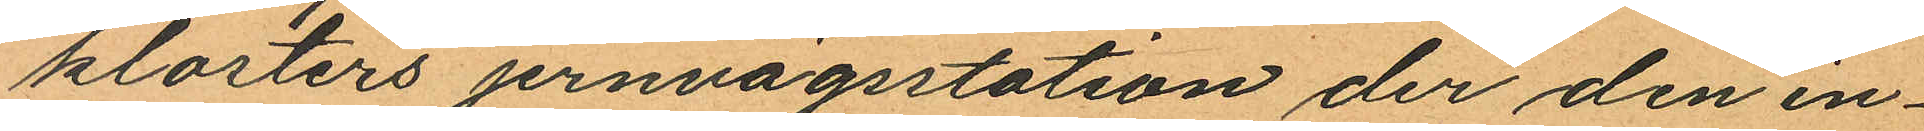klosters jernvägsstation der den in¬
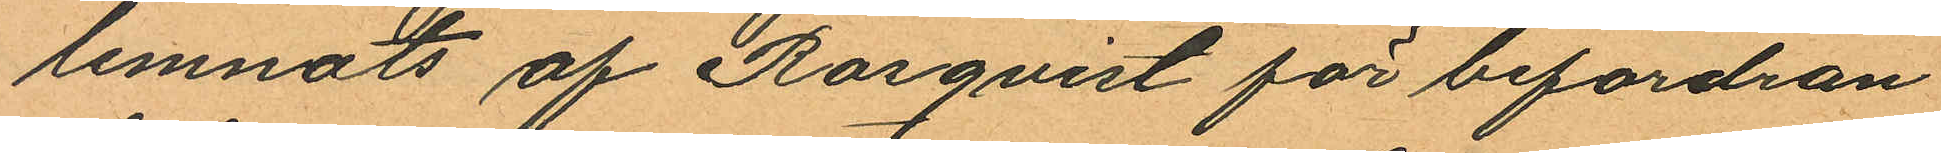lemnats af Rosqvist för befordran
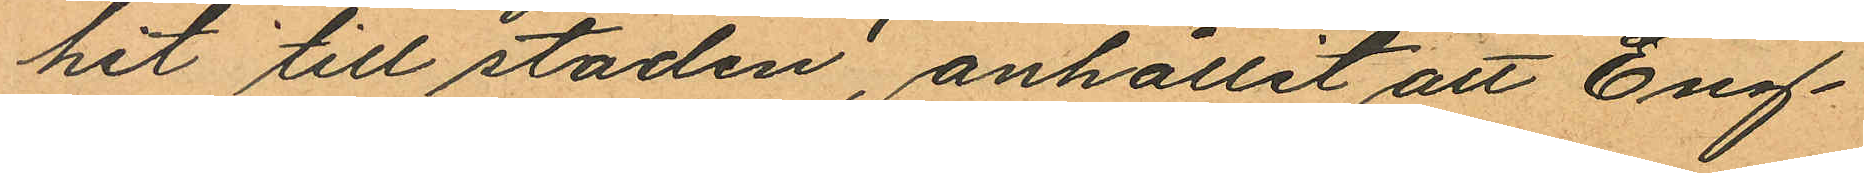hit till staden, anhållit att Eng¬
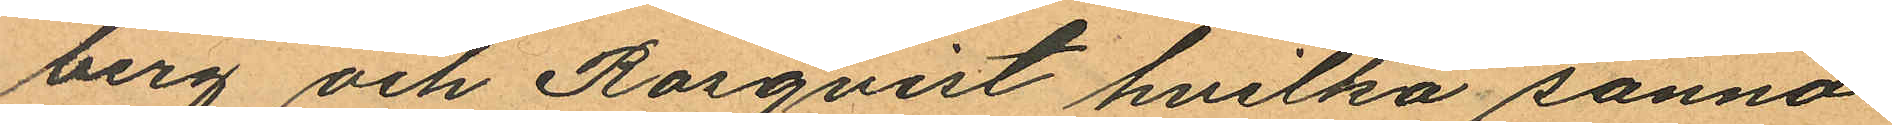berg och Rosqvist hvilka sanno¬
